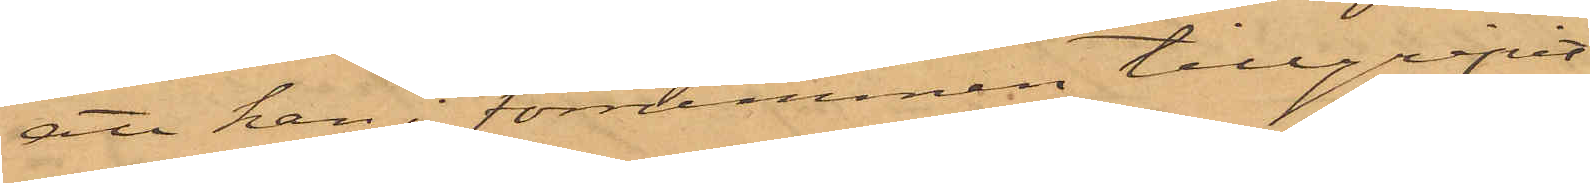att han i förrummen tillgripit
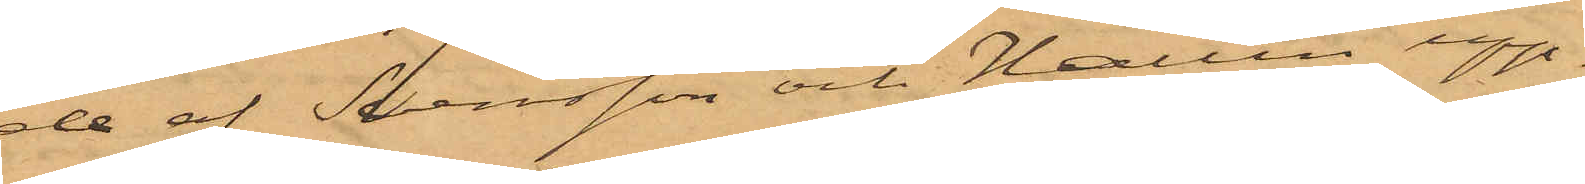de af Svensson och Hallin upp¬
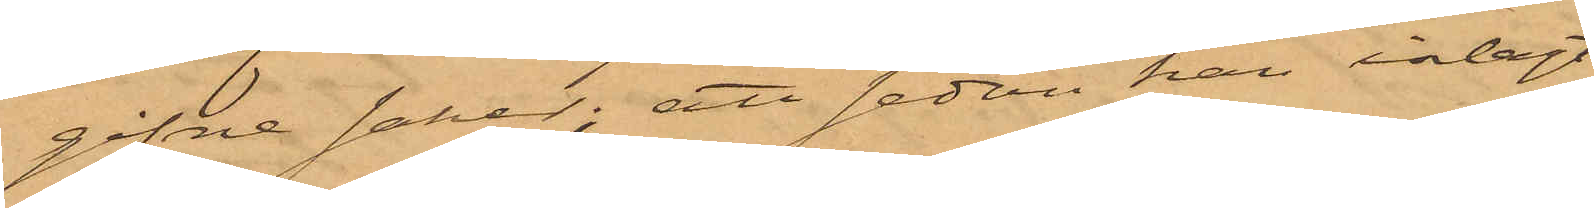gifne saker; att sedan han inlagt
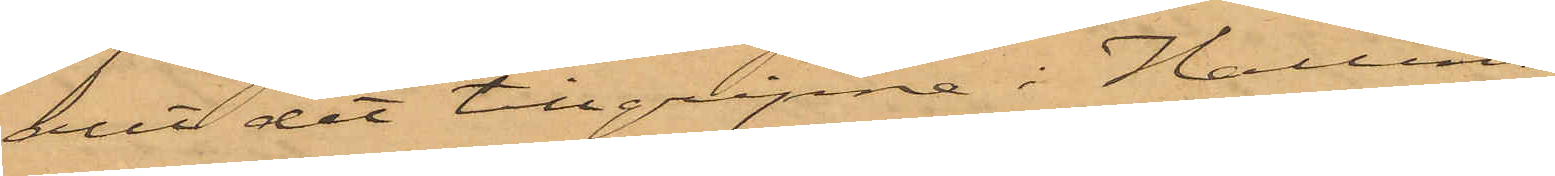allt det tillgripne i Hallins
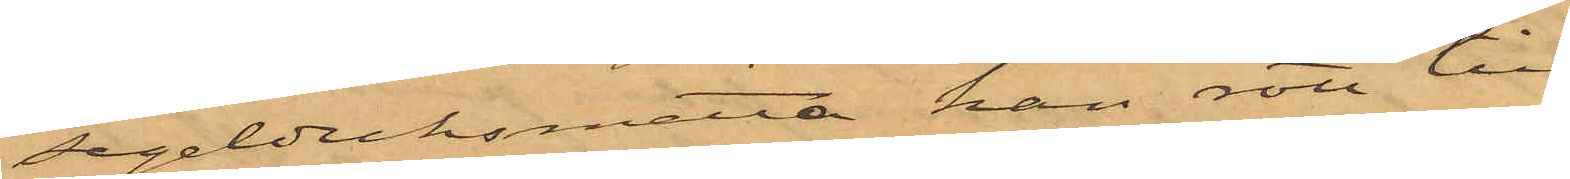segelduksmatta han rott till
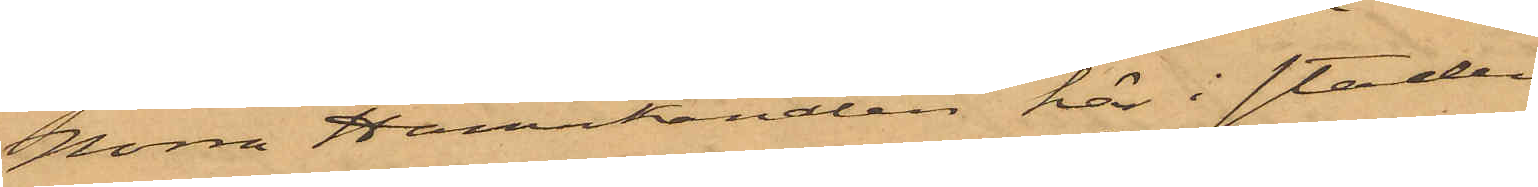Norra Hamnkanalen här i staden
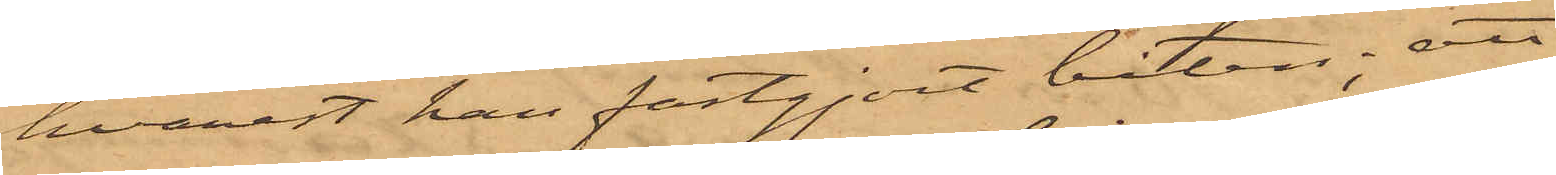hvarest han fastgjort båten; att
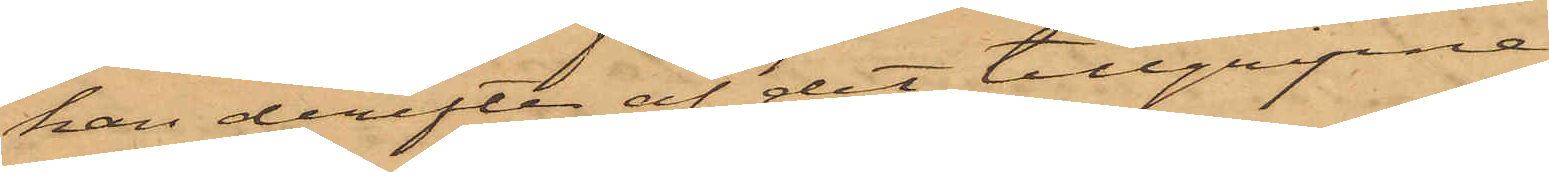han derefter af det tillgripne
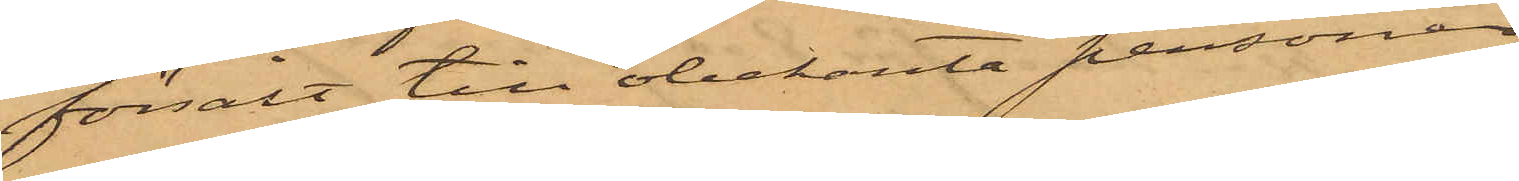försålt till obekanta personer
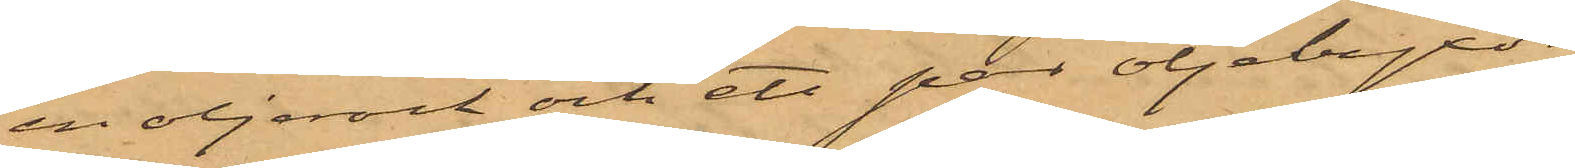en oljerock och ett par oljebyxor
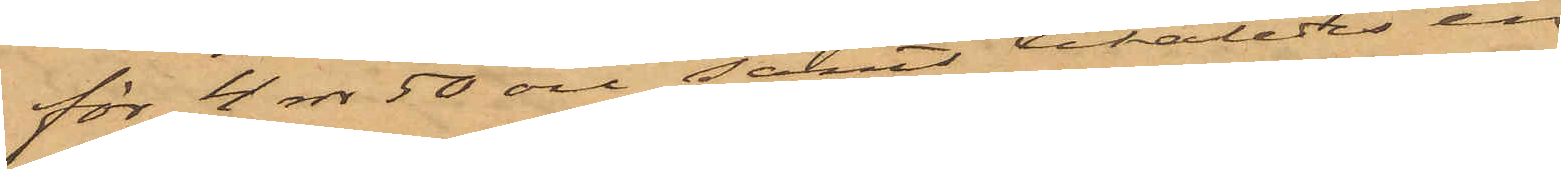för 4 rdr 50 öre samt likaledes en
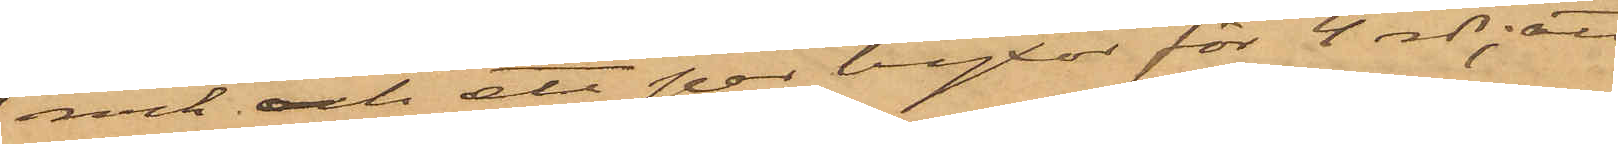rock och ett par byxor för 4 rdr; att
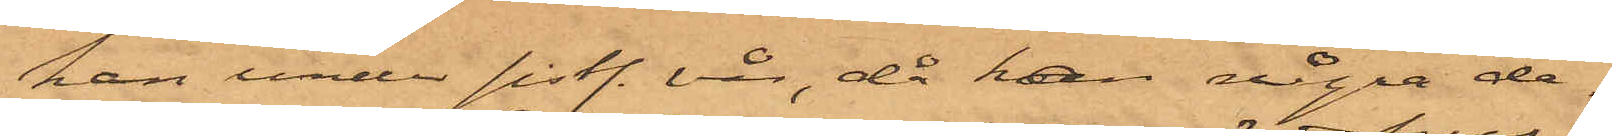han under sist. vår, då han några da¬
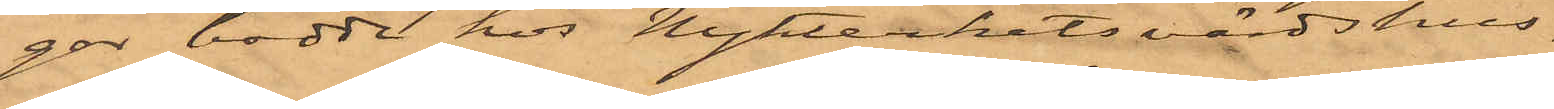gar bodde hos Nykterhetsvärdshus¬
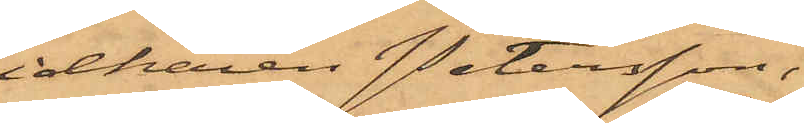idkaren Petersson,
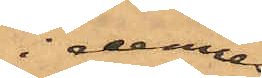i dennes
